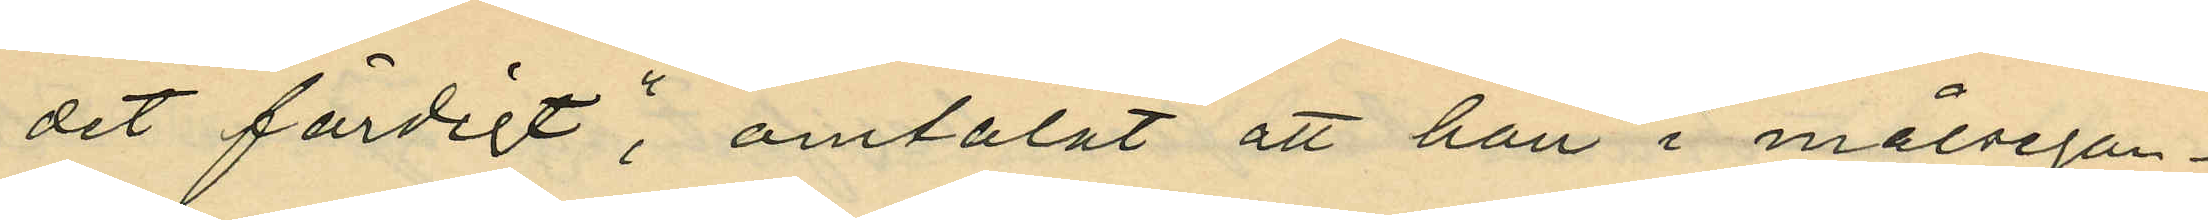det färdigt", omtalat att han i målsegan¬
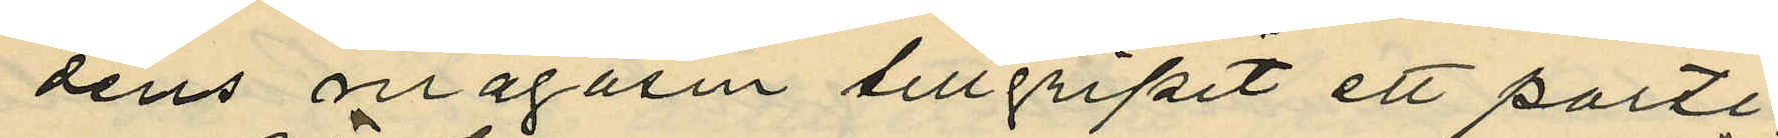dens magasin tillgripit ett parti,
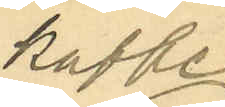kaffe
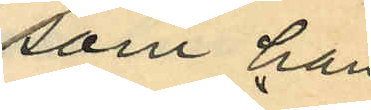som han
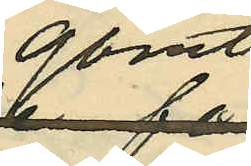gömt
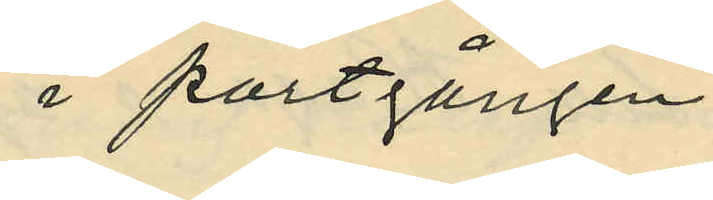i portgången
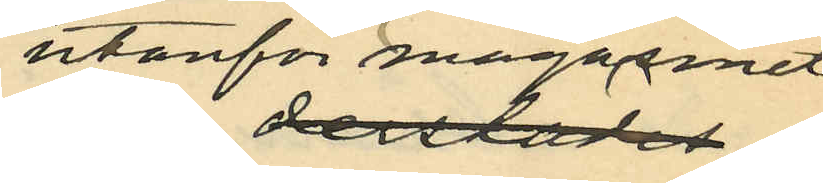utanför magasinet
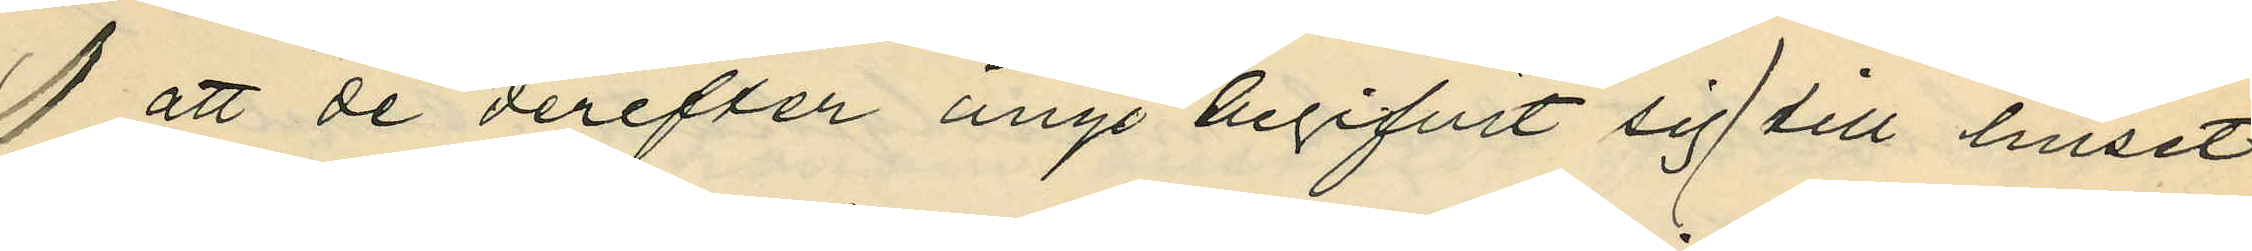att de derefter ånyo begifvit sig till huset
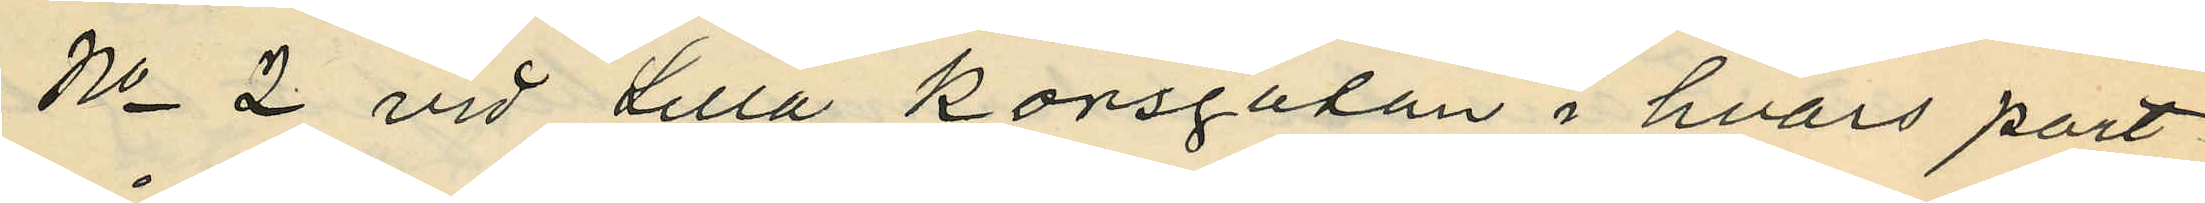No 2 vid Lilla Korsgatan i hvars port¬
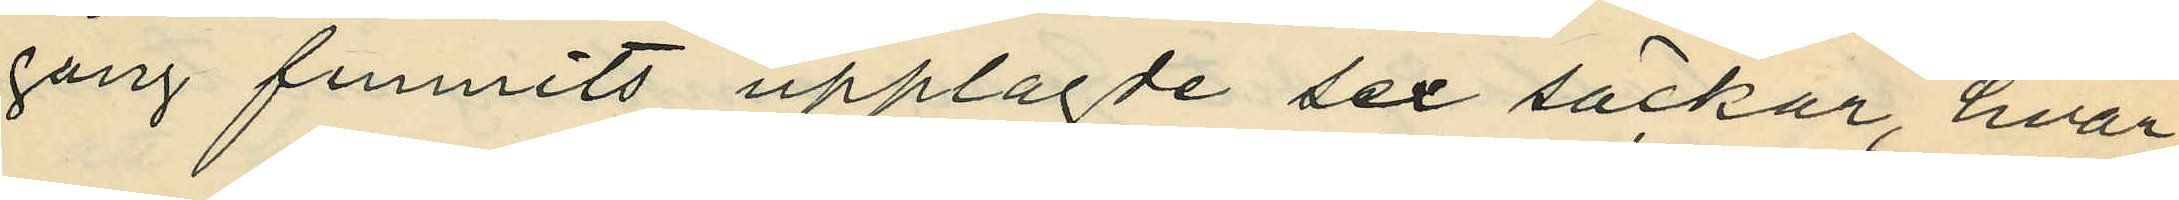gång funnits upplagde sex säckar, hvar¬
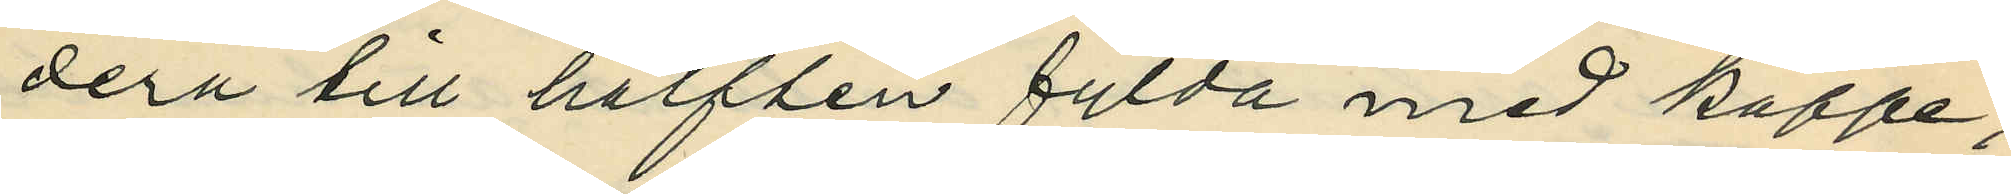dera till hälften fylda med kaffe;
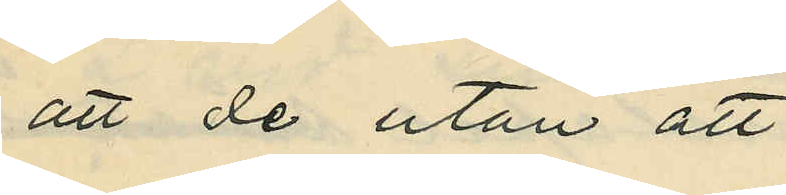att de utan att
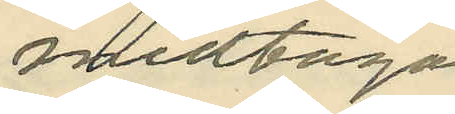medtaga
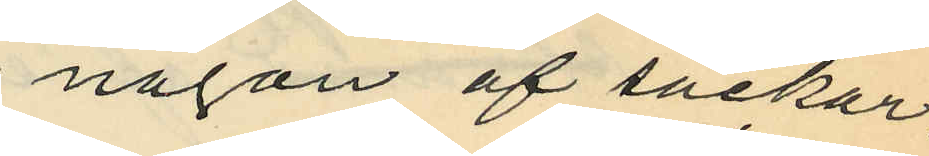någon af säckar¬
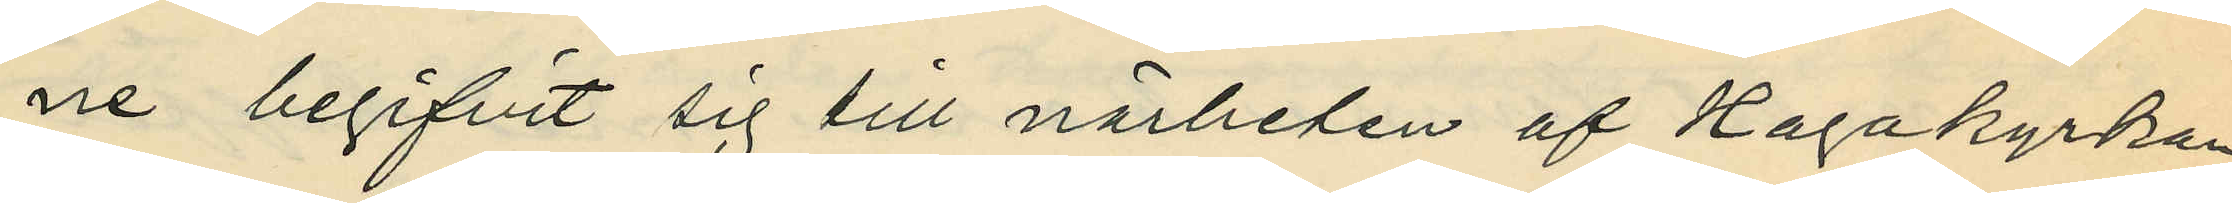ne begifvit sig till närheten af Hagakyrkan,
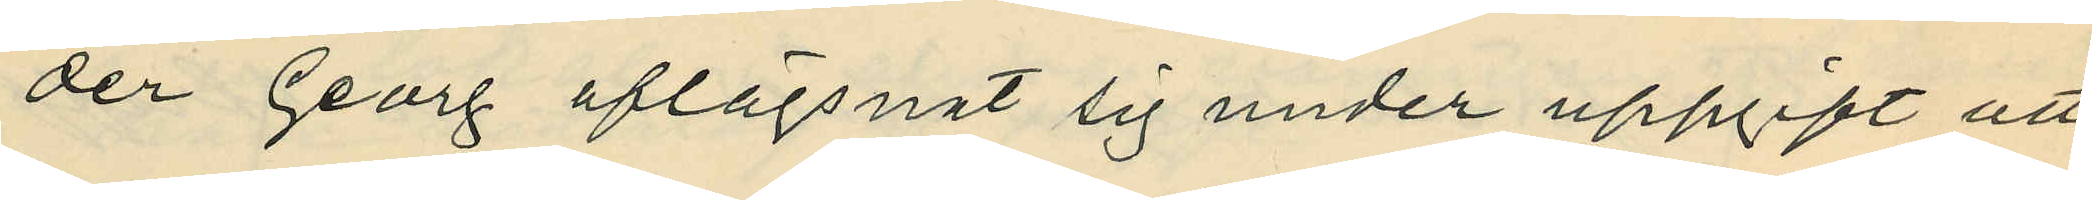der Georg aflägsnat sig under uppgift att
